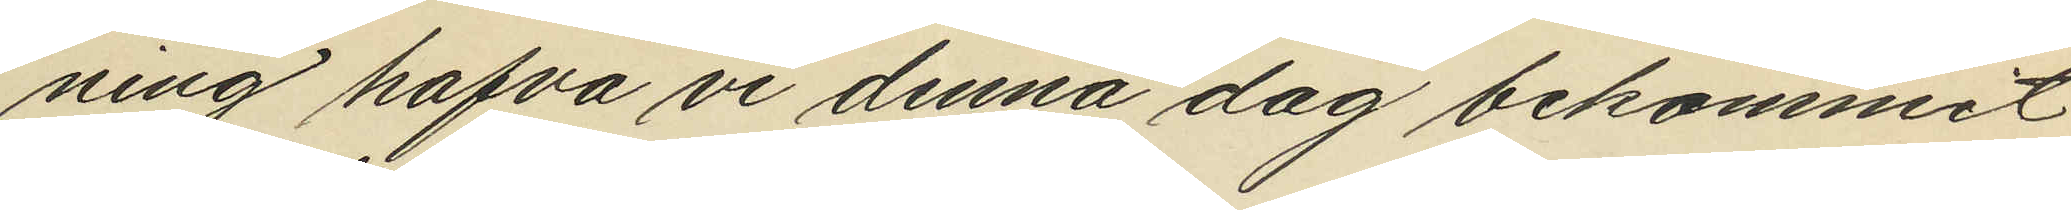ning hafva vi denna dag bekommet
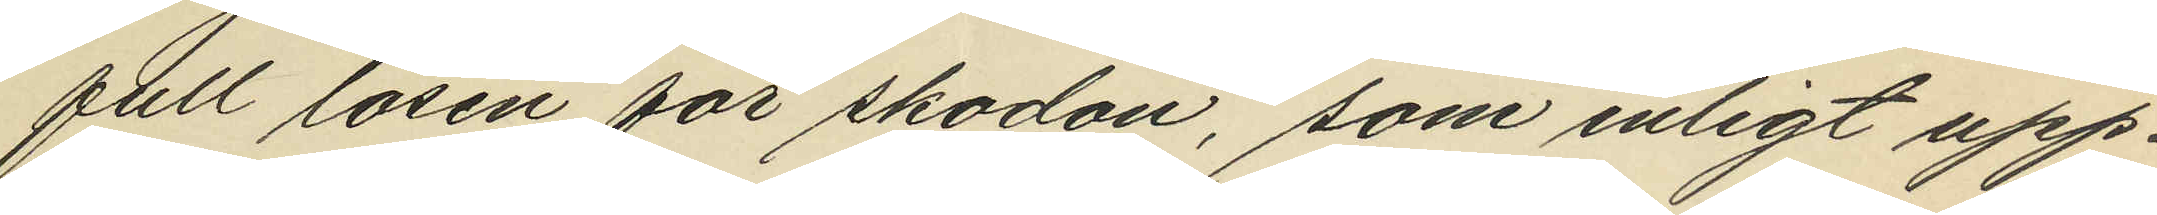full lösen för skodon, som enligt upp¬
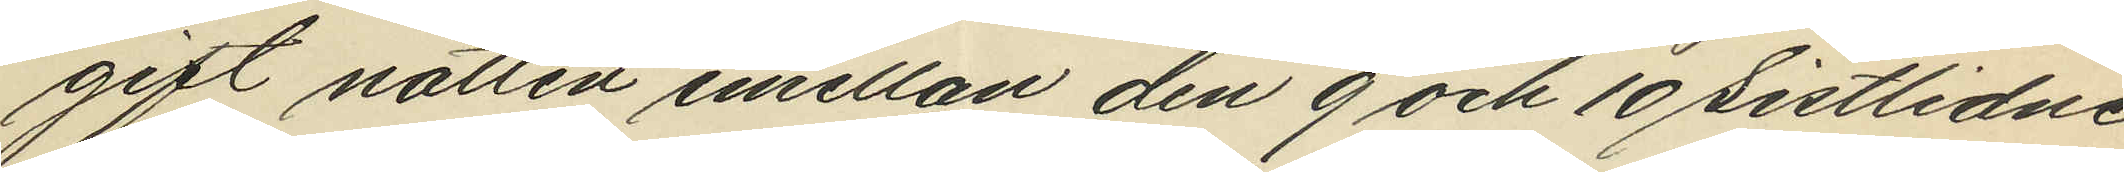gift nattten emellan den 9 och 10 sistlidne
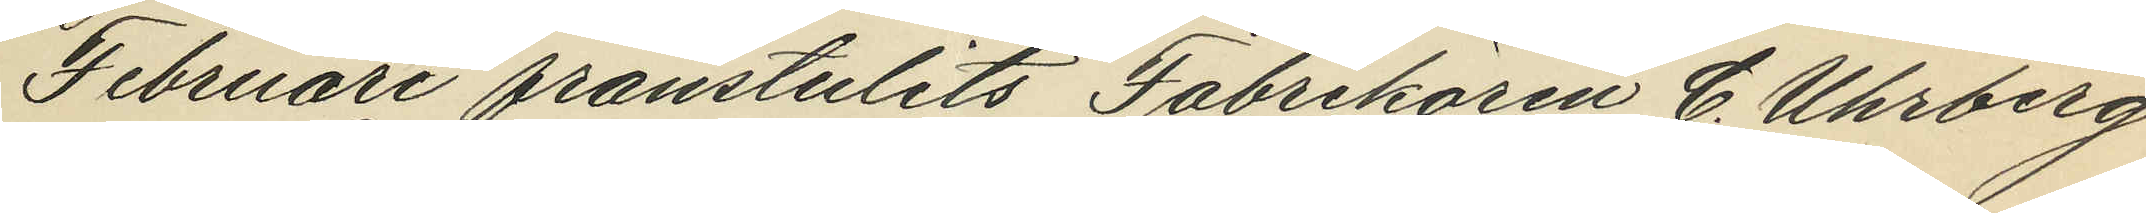Februari frånstulits Fabrikören C. Uhrberg
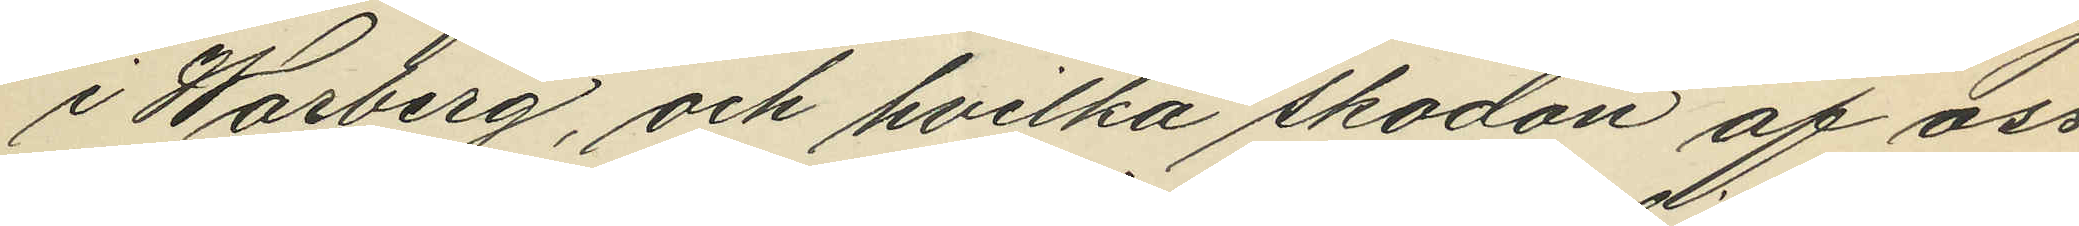i Warberg, och hvilka skodon af oss
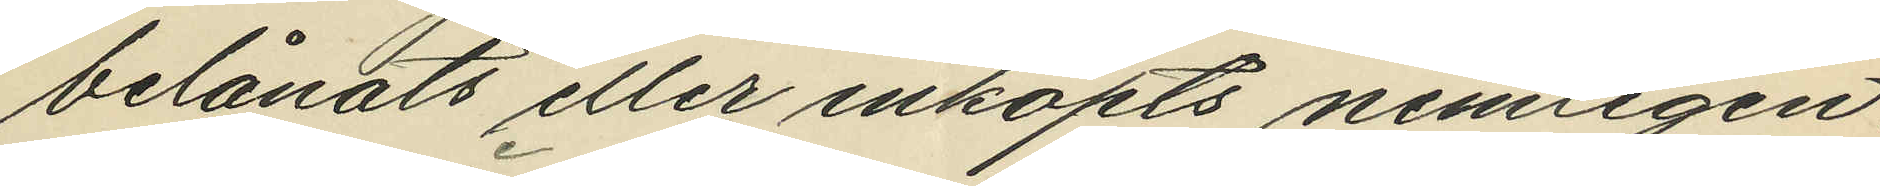belånats eller inköpts nemligen
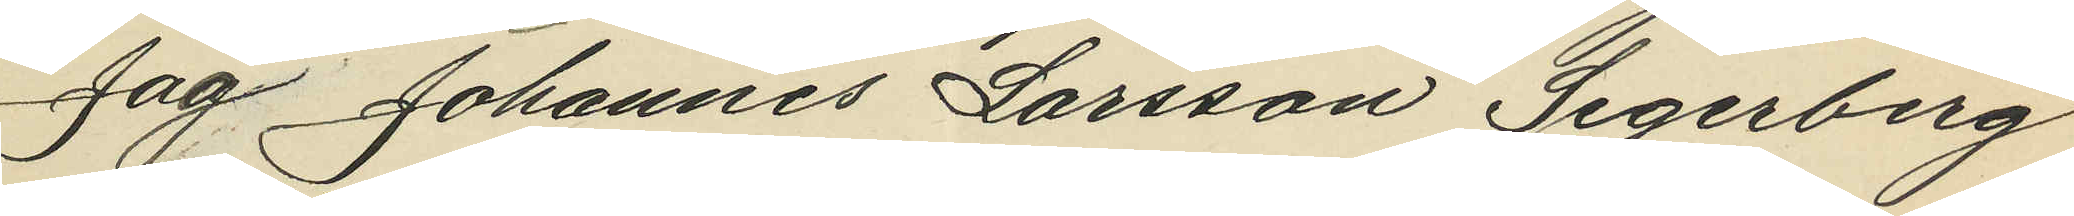Jag Johannes Larsson Segerberg
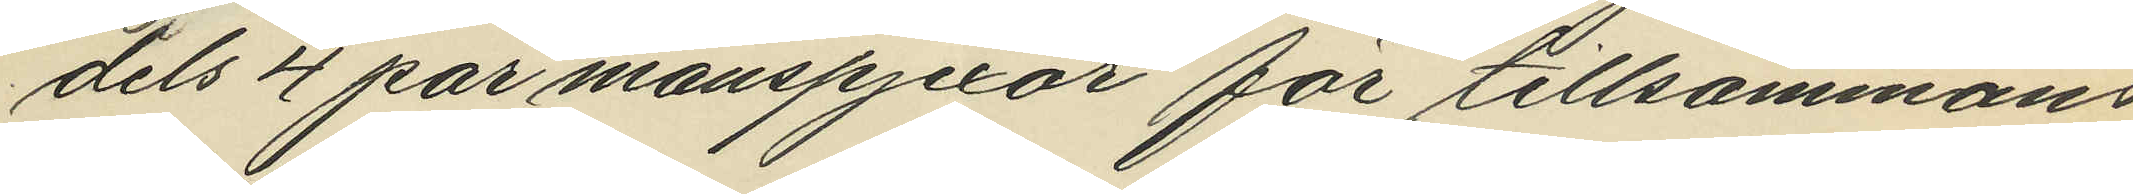dels 4 par manspjexor för tillsammans
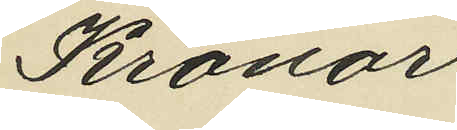Kronor
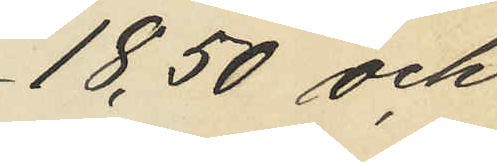18,50 och
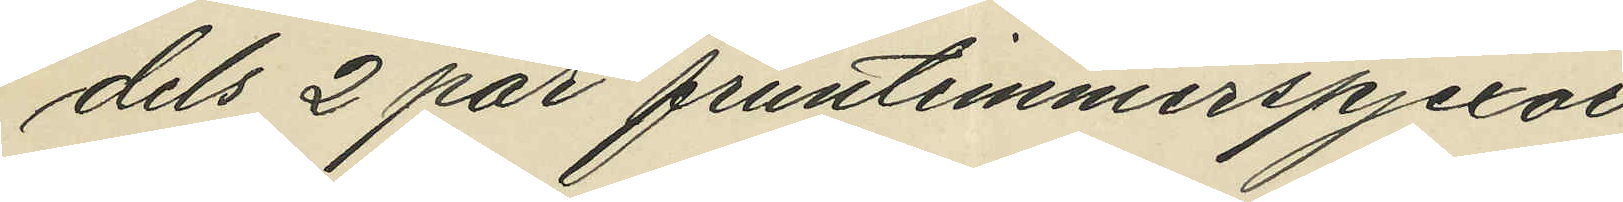dels 2 par fruntimmerspjexor
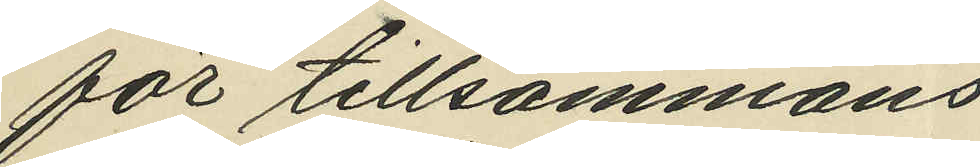för tillsammans
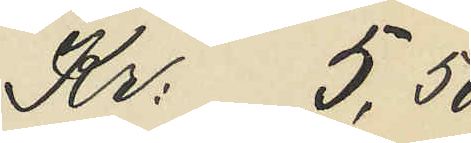Kr: 5,50
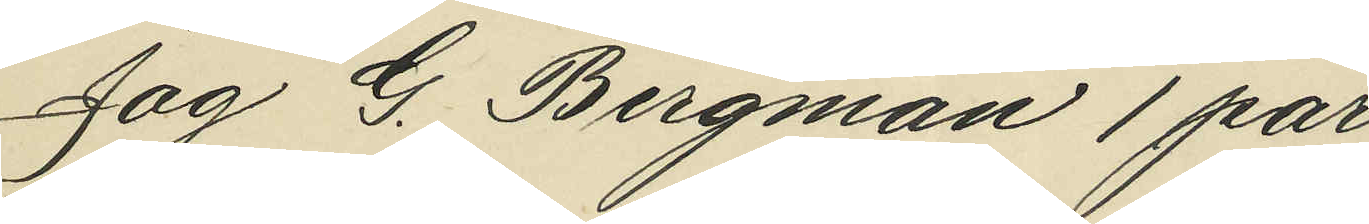Jag G. Bergman 1 par
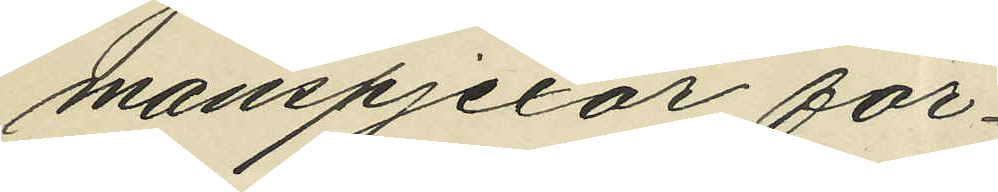manspjexor för
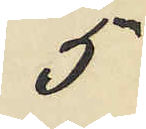5
